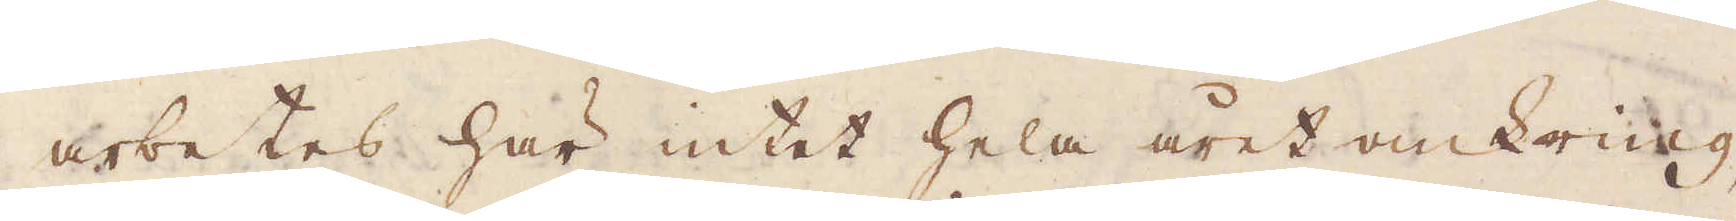arbetes här intet hela året omkring,
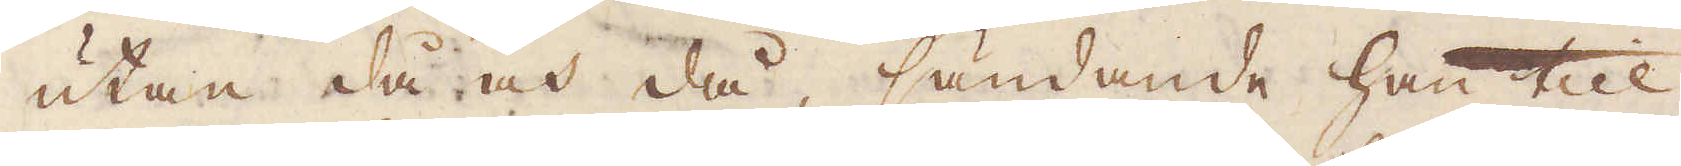utan då och då, sändande han till
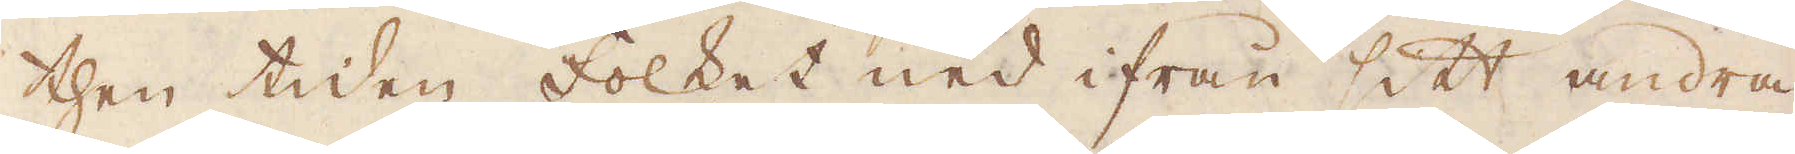then tiden folket ned ifrån sitt andra
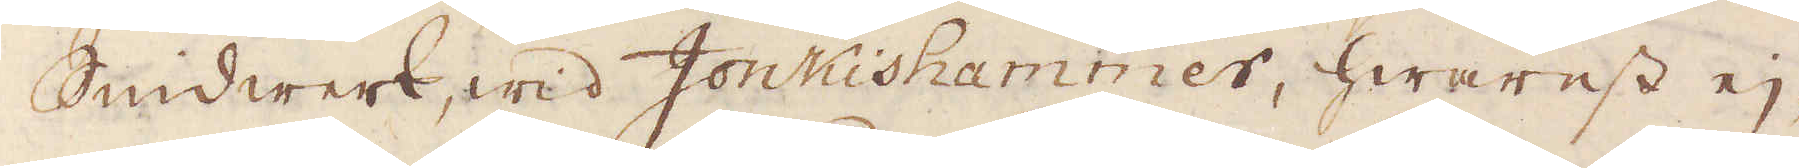Smidwerk, wid Jonkishammer, hwarest ej-
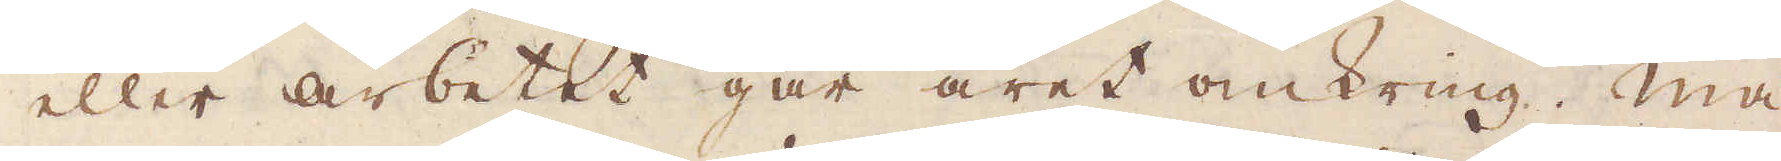eller arbetet går året omkring. Mä-
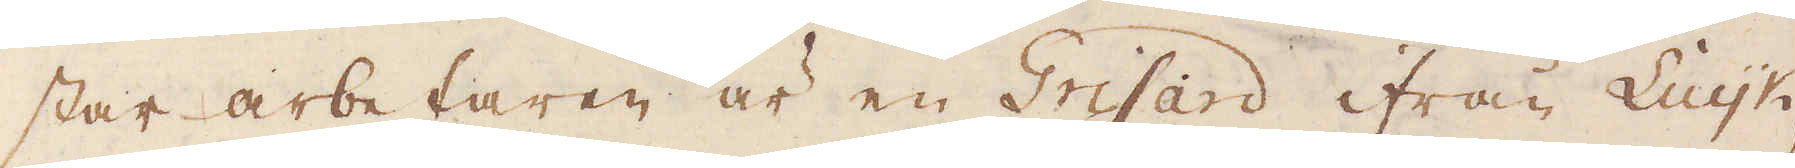star arbetaren är en Grisard ifrån Luijk,
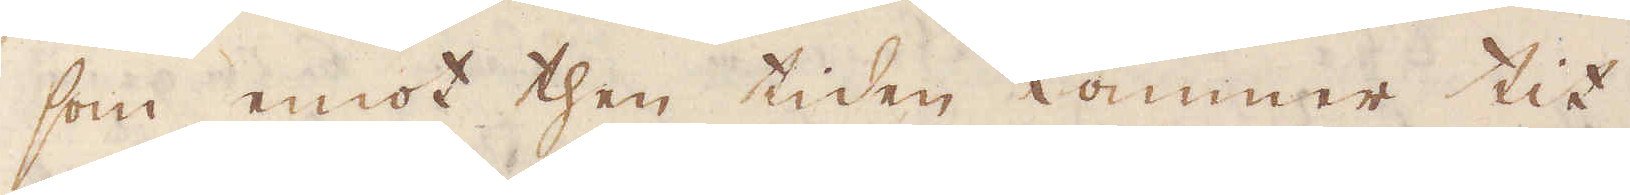som emot then tiden kommer tit.
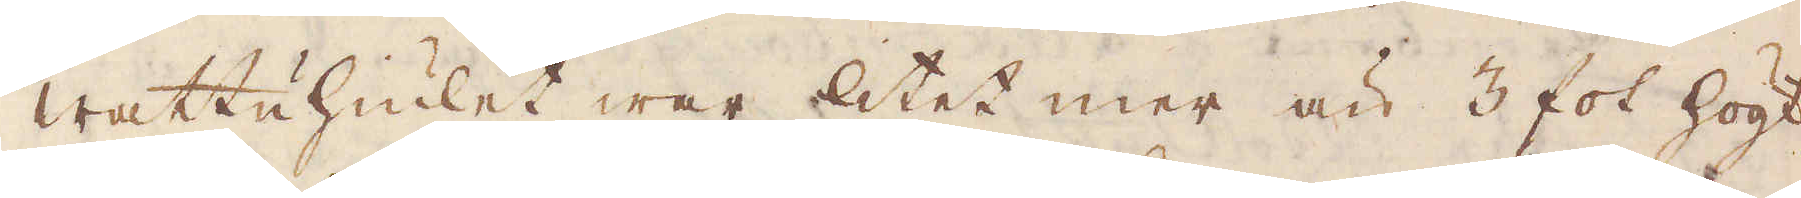Wattuhiulet war litet mer än 3 fot högt
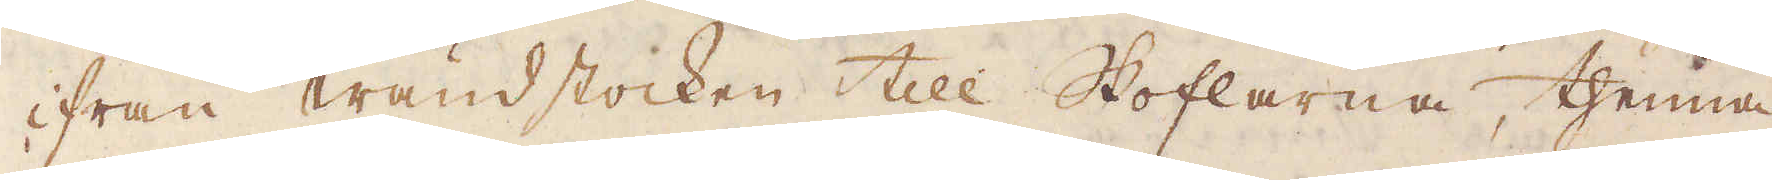ifrån wändstocken till Skoflarna, thenna
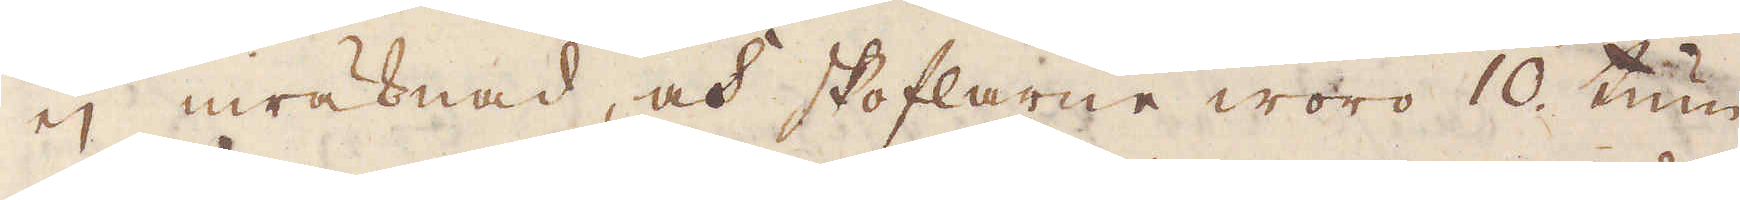ej inräknad, och skoflarne woro 10 tum
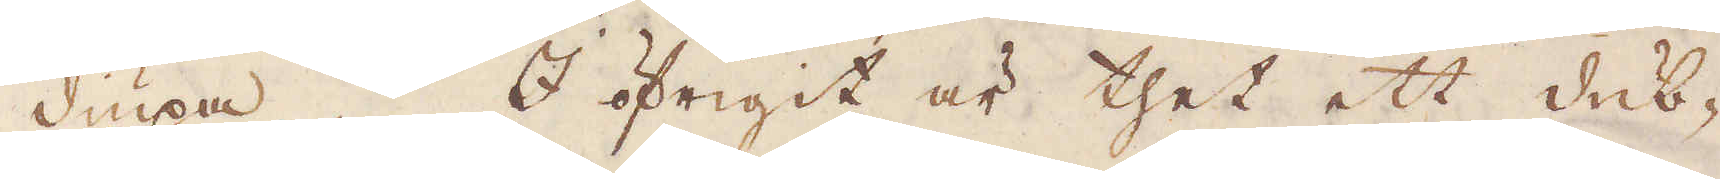diupa. I öfrigit är thet ett dub-
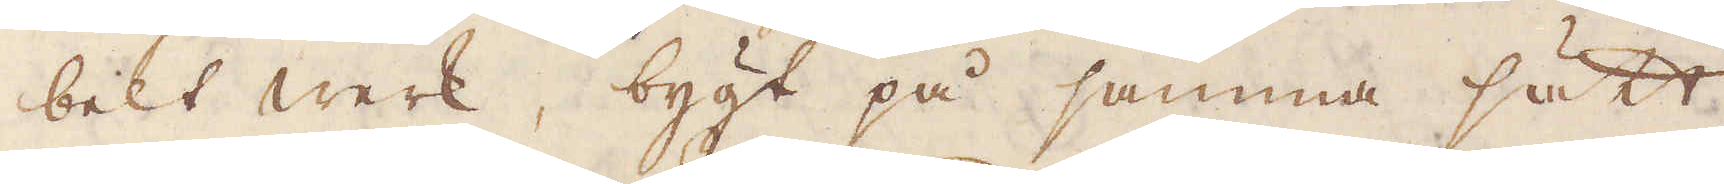belt werk, bygt på samma sätt
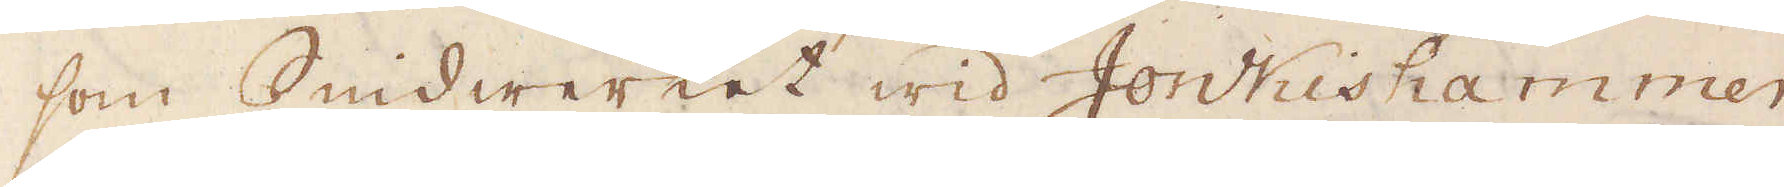som Smidwerket wid Jonkishammer,
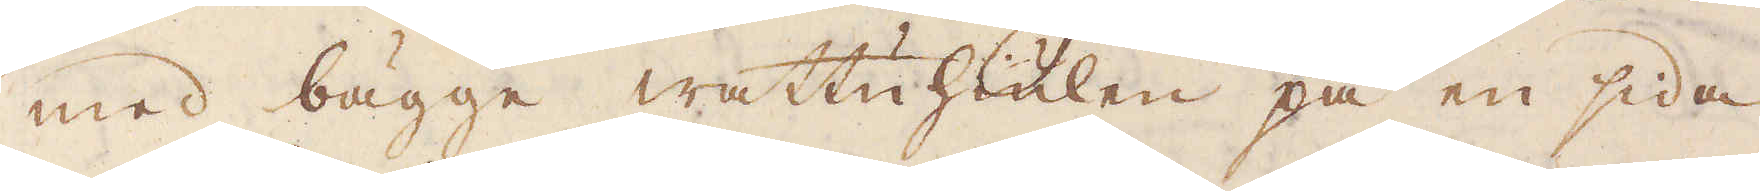med bägge wattuhiulen på en sida
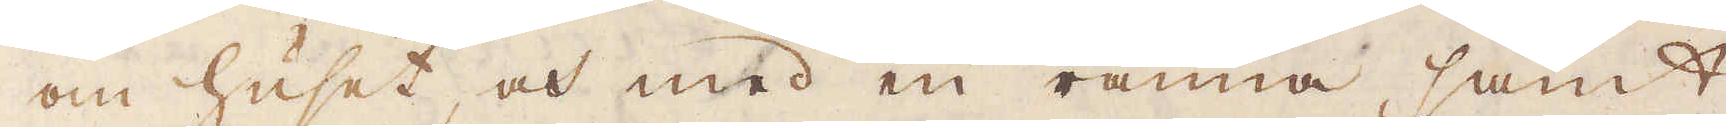om huset, och med en ränna, samt
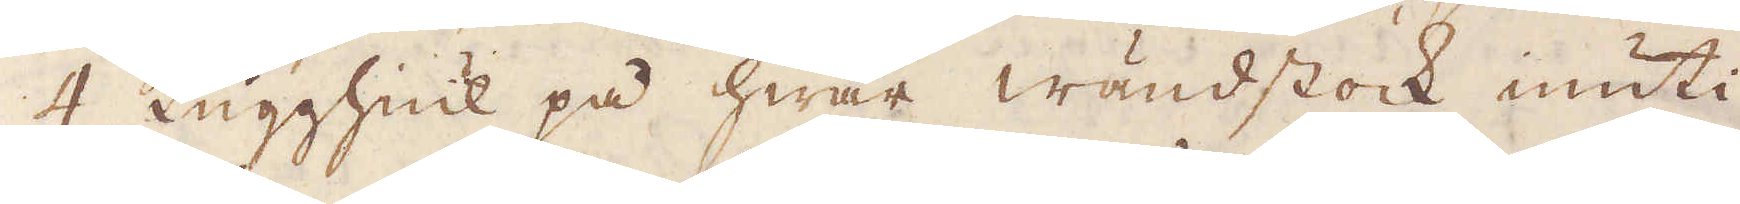4 Kugghiul på hwar wändstock inuti
